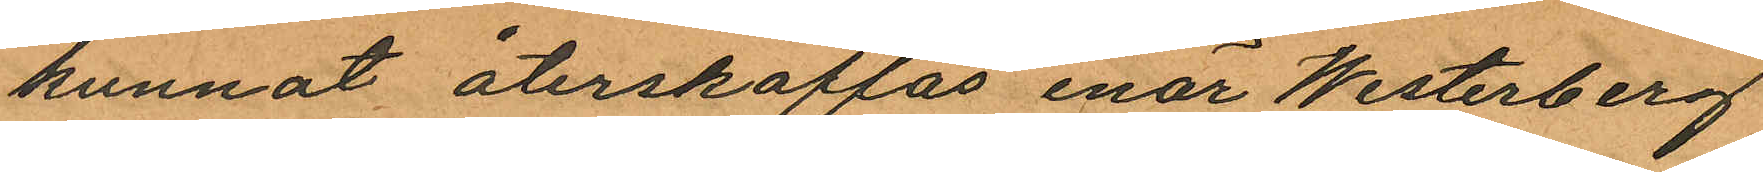kunnat återskaffas enär Westerberg
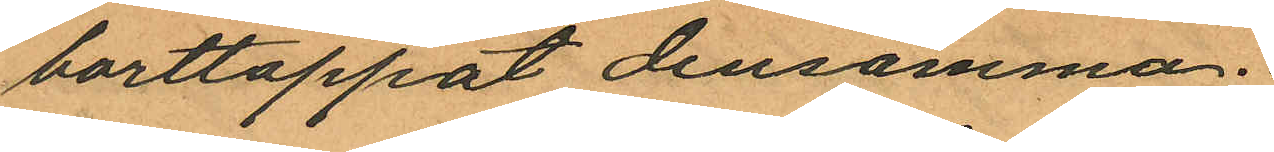borttappat densamma.
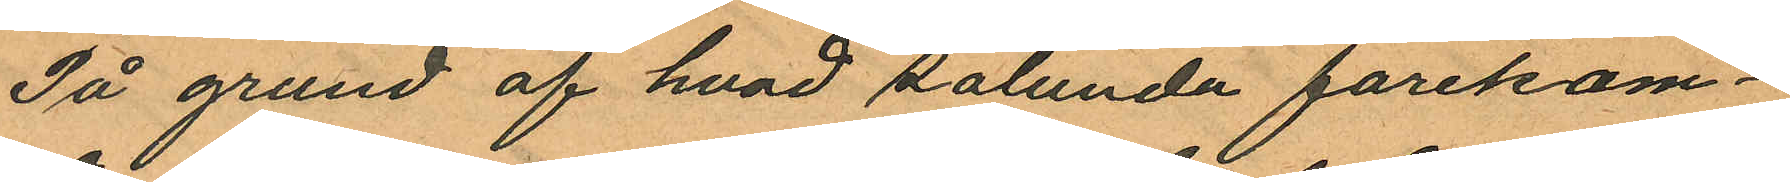På grund af hvad sålunda förekom¬
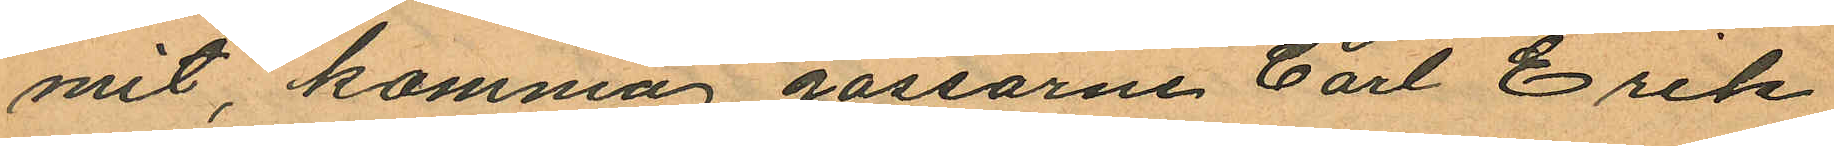mit, komma gossarne Carl Erik
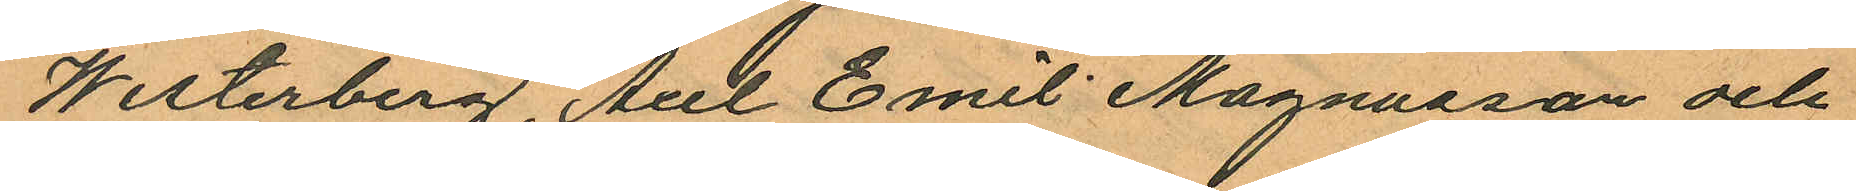Westerberg, Axel Emil Magnusson och
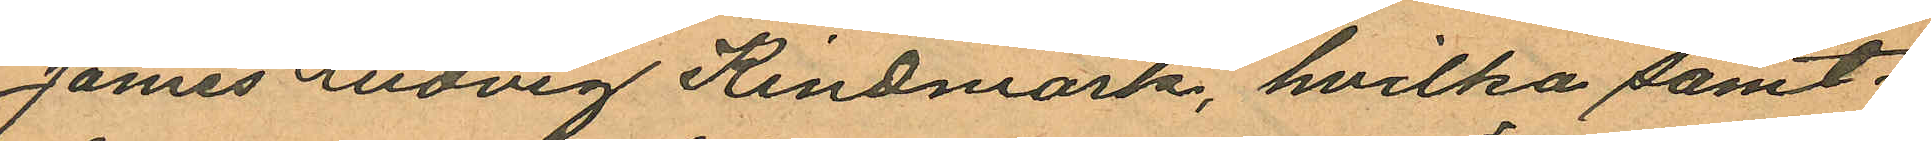James Ludvig Kindmark, hvilka samt¬
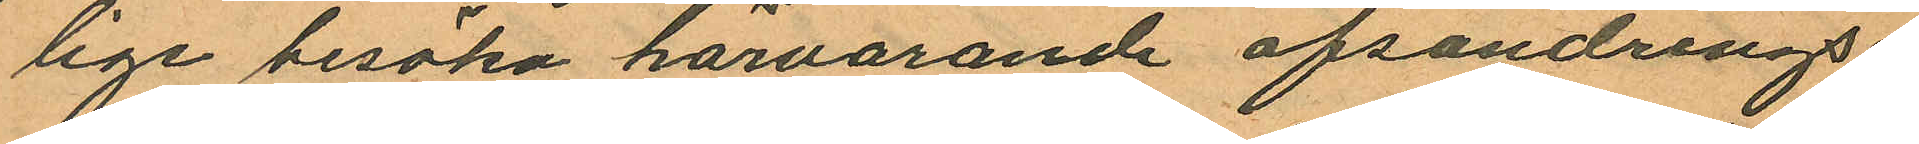lige besöka härvarande afsöndring¬
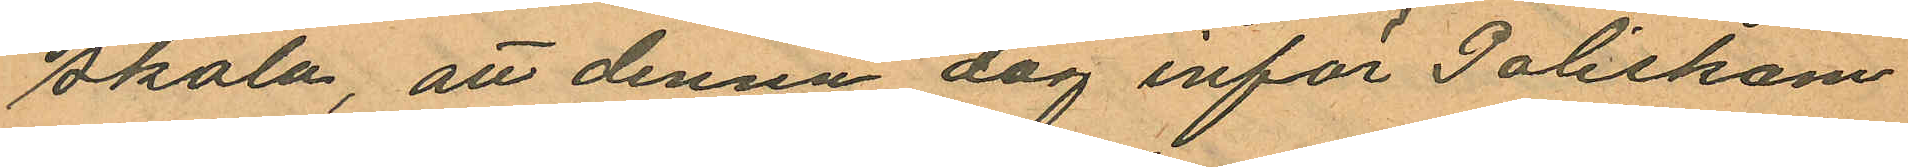skola, att denna dag inför Poliskam¬
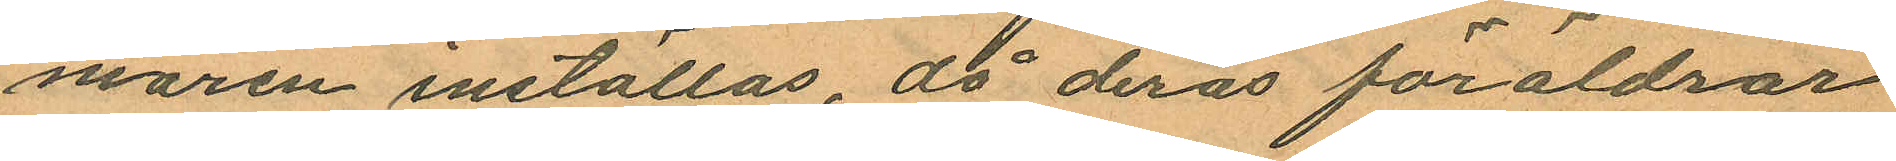maren inställas, då deras föräldrar
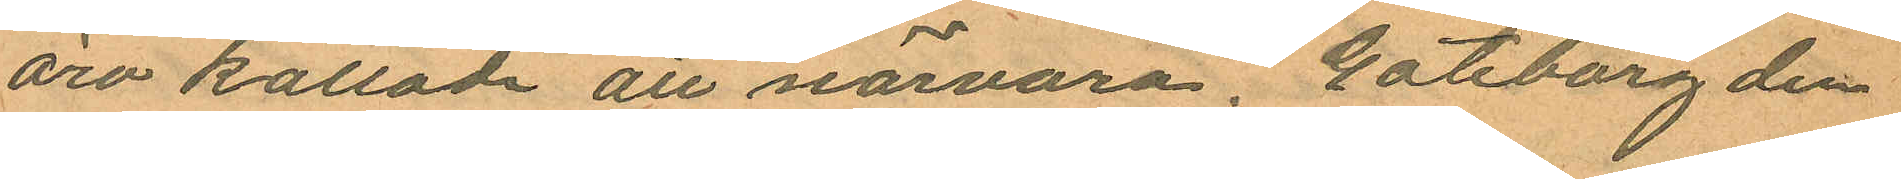äro kallade att närvara. Göteborg den
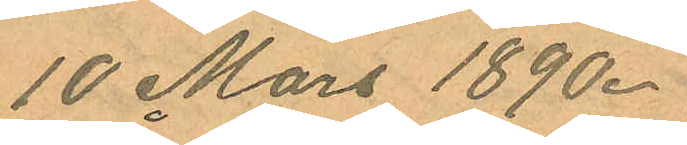10 Mars 1890.
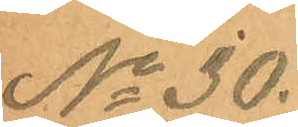No 30.
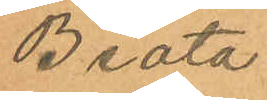Beata
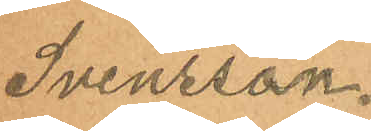Svensson.
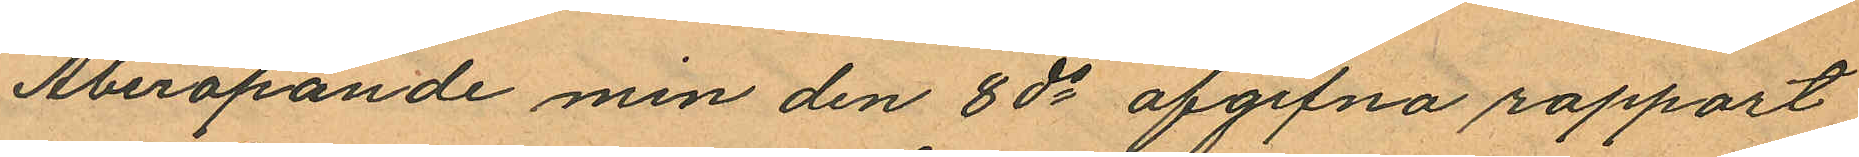Åberopande min den 8 ds afgifna rapport
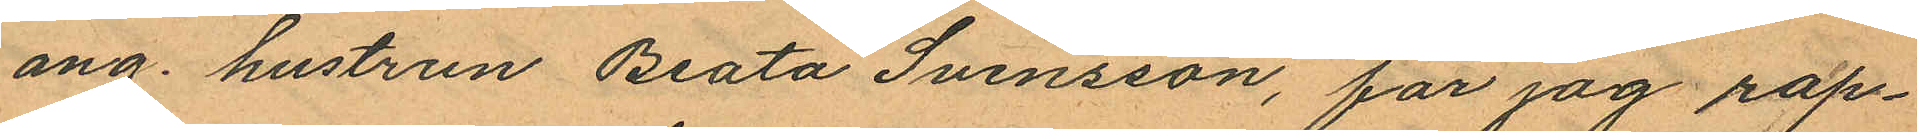ang. hustrun Beata Svensson, får jag rap¬
